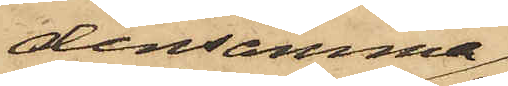densamma
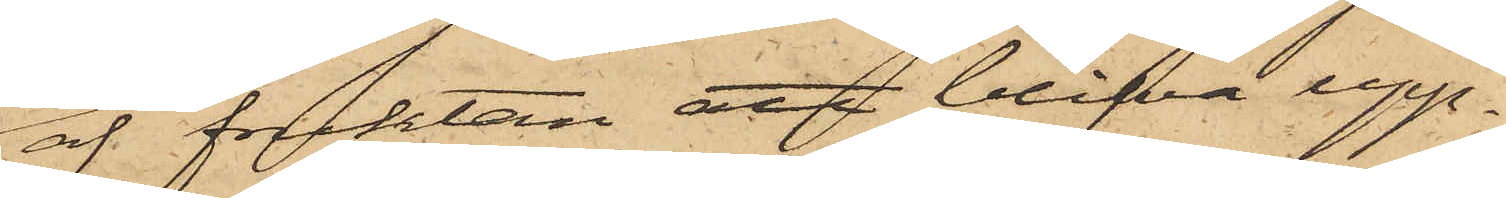af fruktan att blifva upp¬
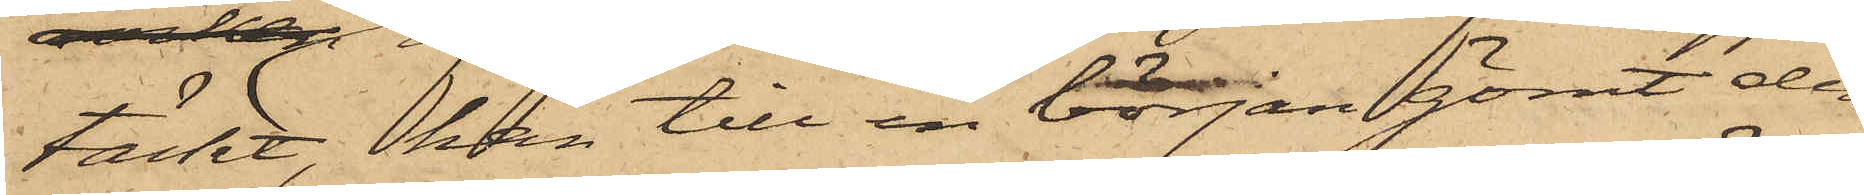täckt, han till en början gömt den
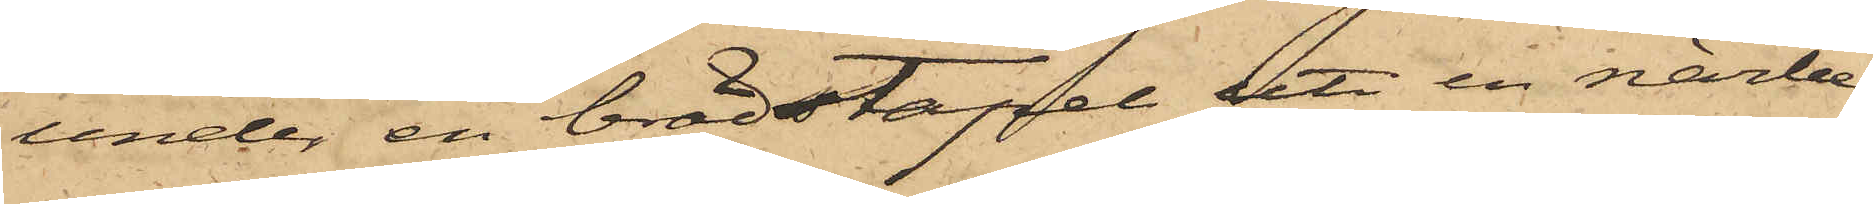under en brädstapel uti en närbe¬
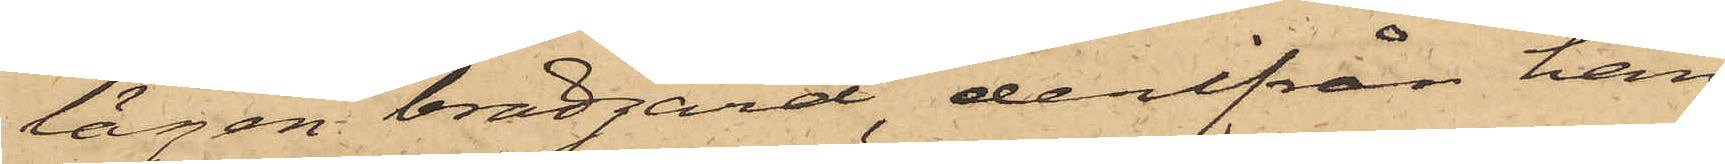lägen brädgård, derifrån han
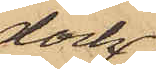dock
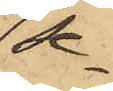se¬
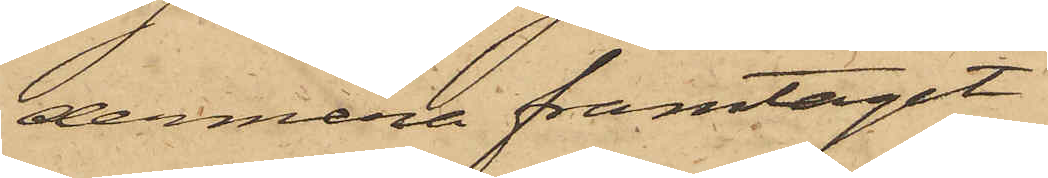dermera framtagit
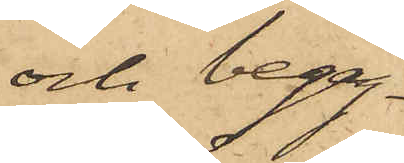och begag¬
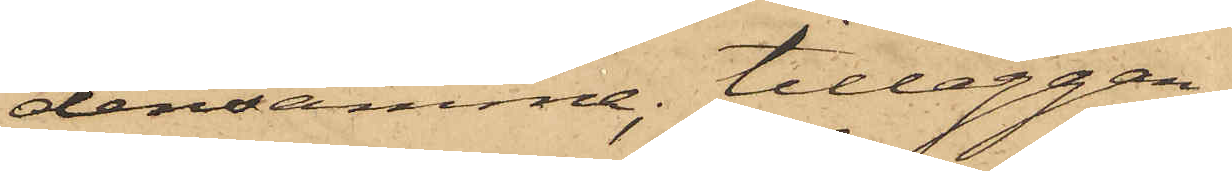densamme; tilläggan¬
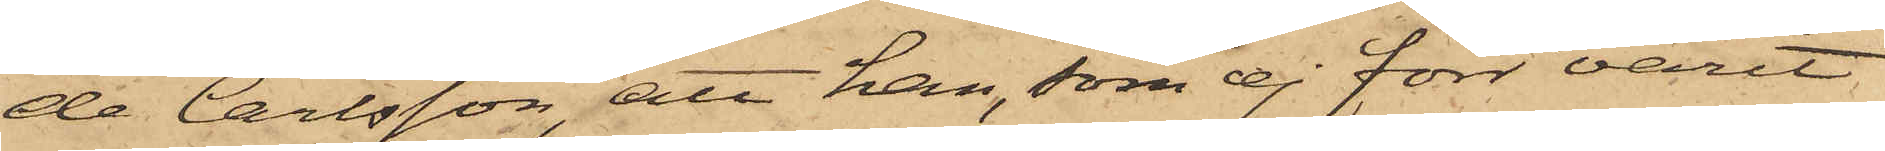de Carlsson, att han, som ej förr varit
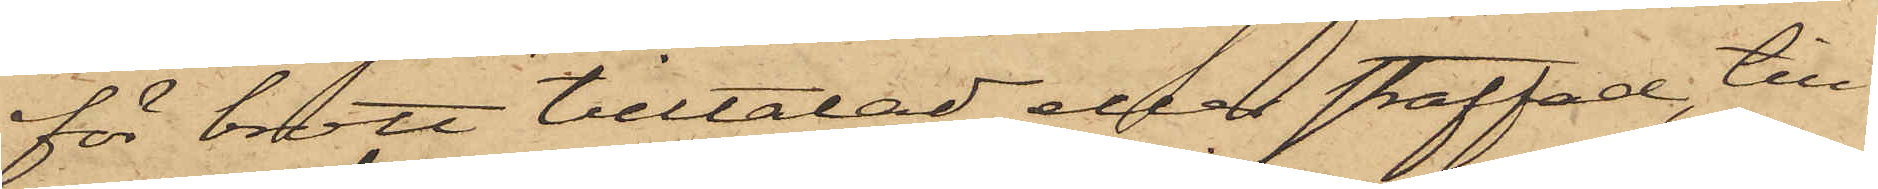för brott tilltalad eller straffad, till¬
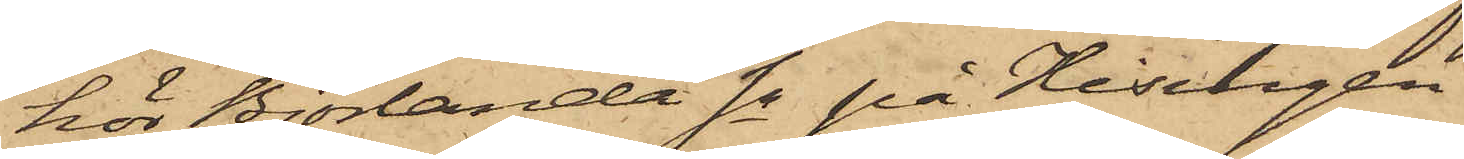hör Björlanda Sn på Hisingen
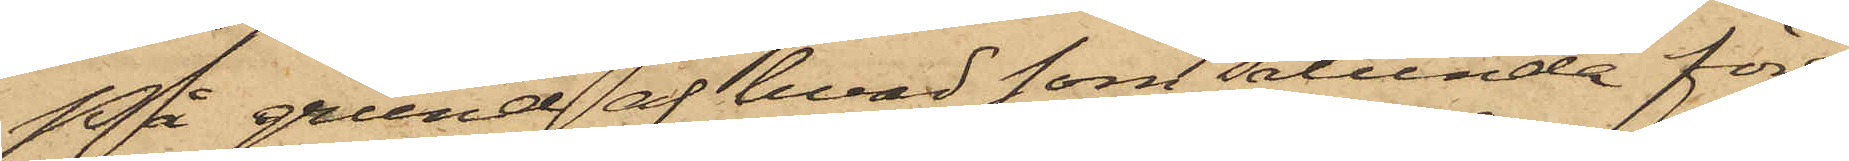På grund af hvad som sålunda före¬
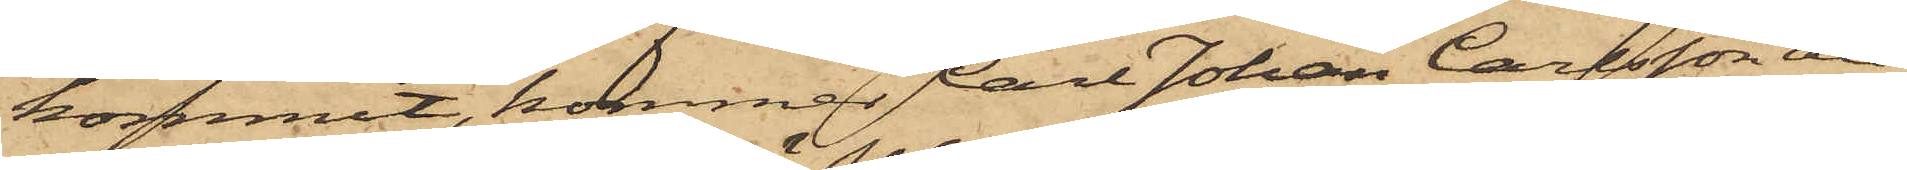kommit, kommer Carl Johan Carlsson att
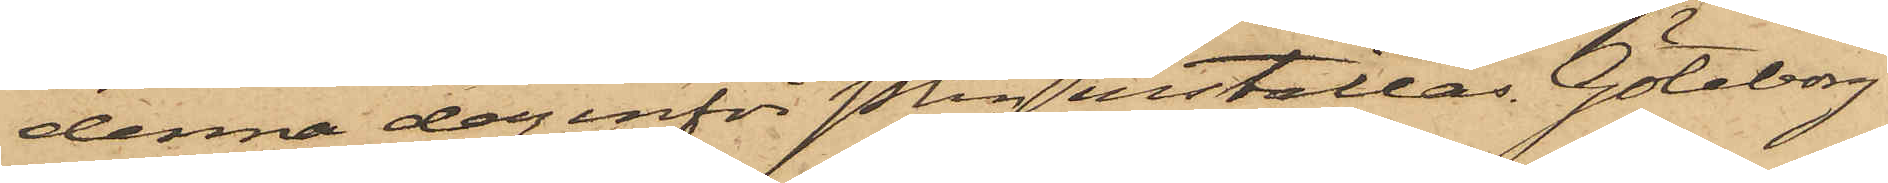denna dag inför Pkn inställas. Göteborg
